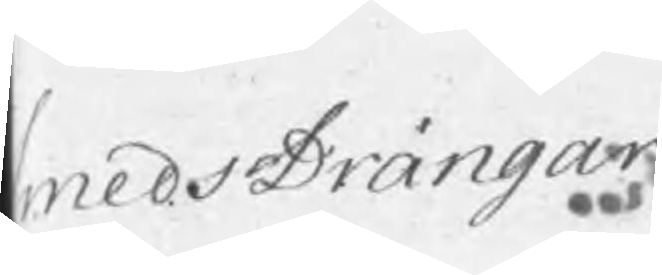SmedsDrängar
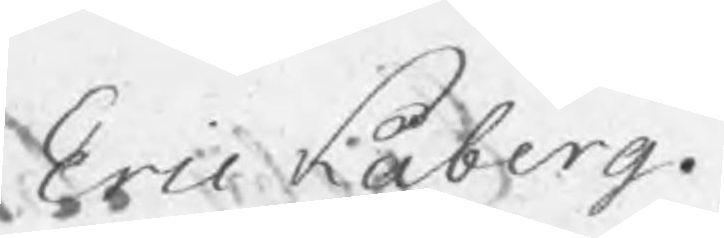Eric Kåberg.
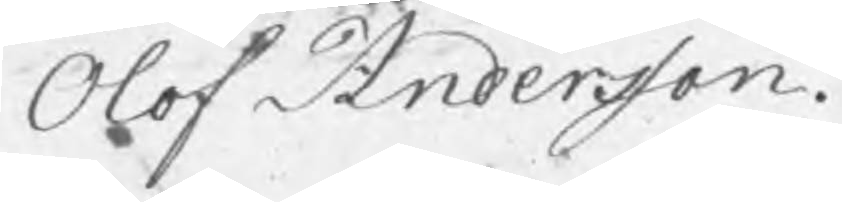Olof Andersson.
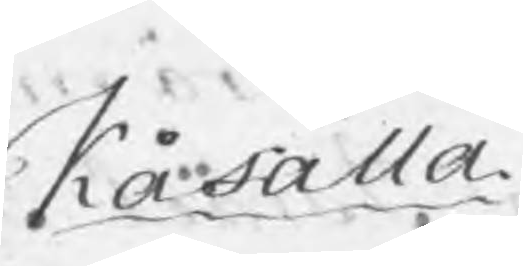Kåfalla.
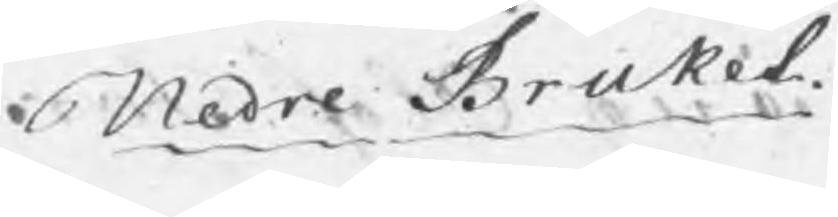Nedre Bruket.
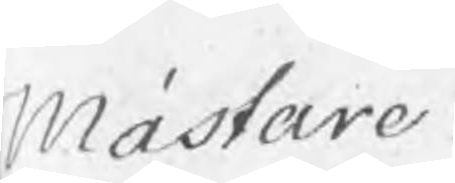Mästare
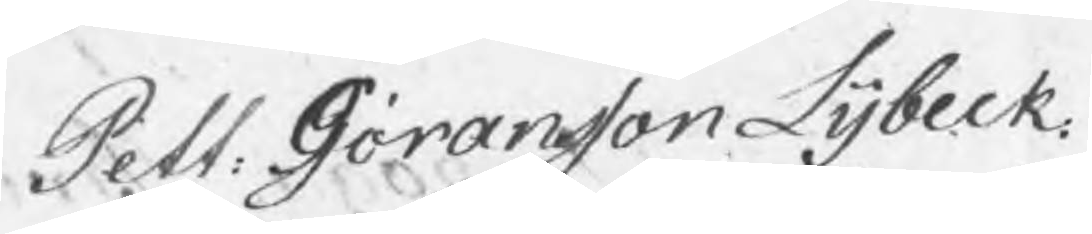Pett: Göransson Lybeck.
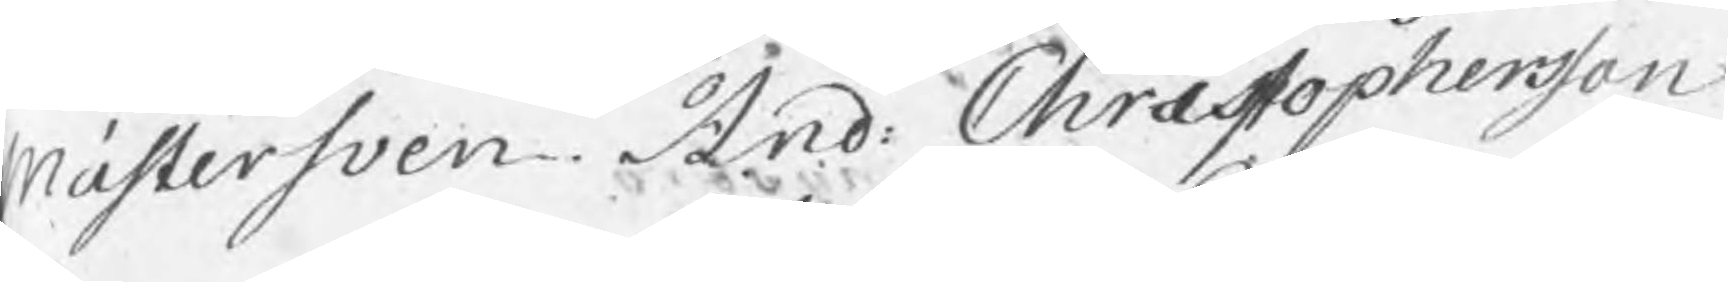Mästersven And: Christophersson
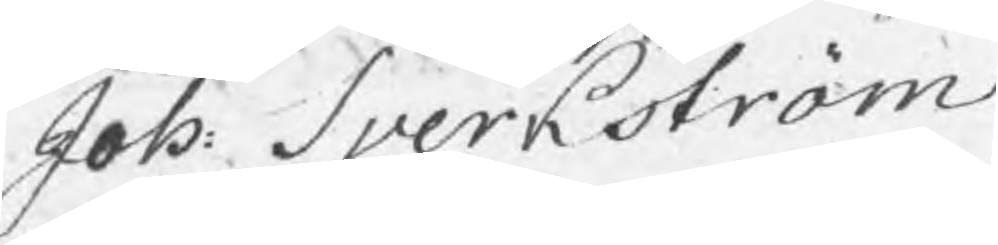Joh: Sverkström
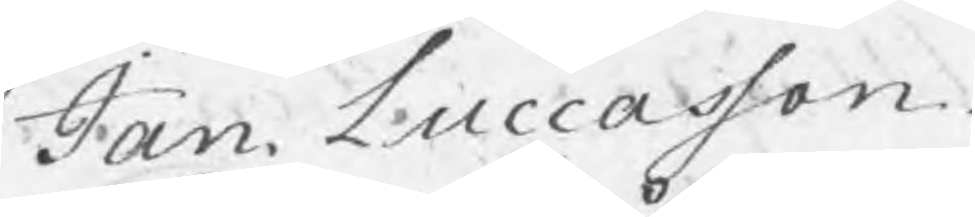Jan. Luccasson
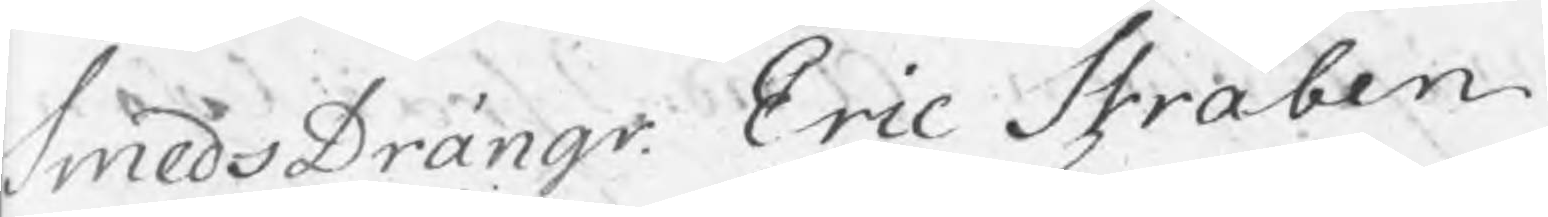SmedsDrängr Eric Stråben
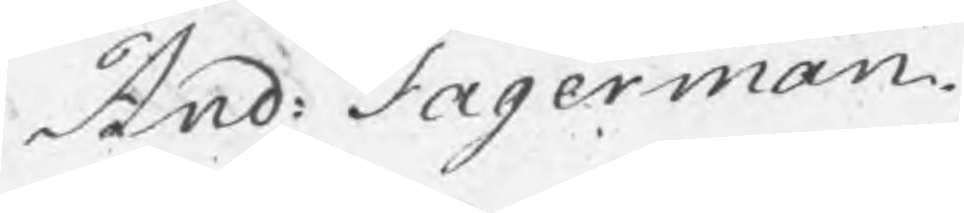And: Fagerman.
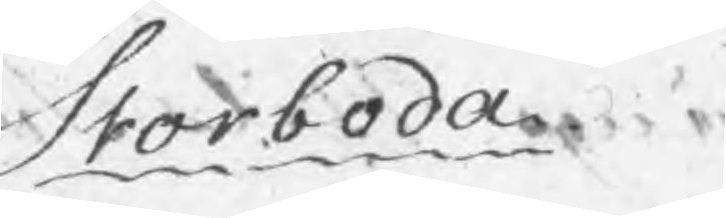Storboda
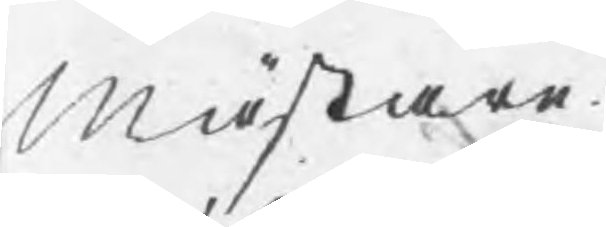Mästare
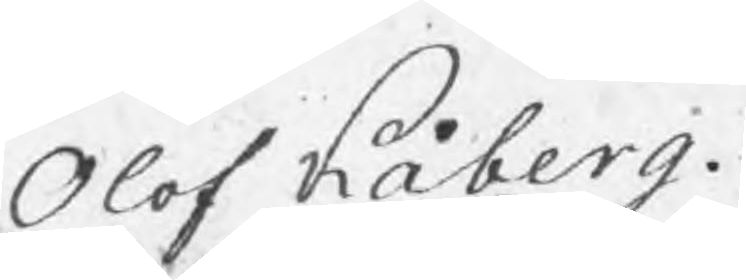Olof Kåberg.
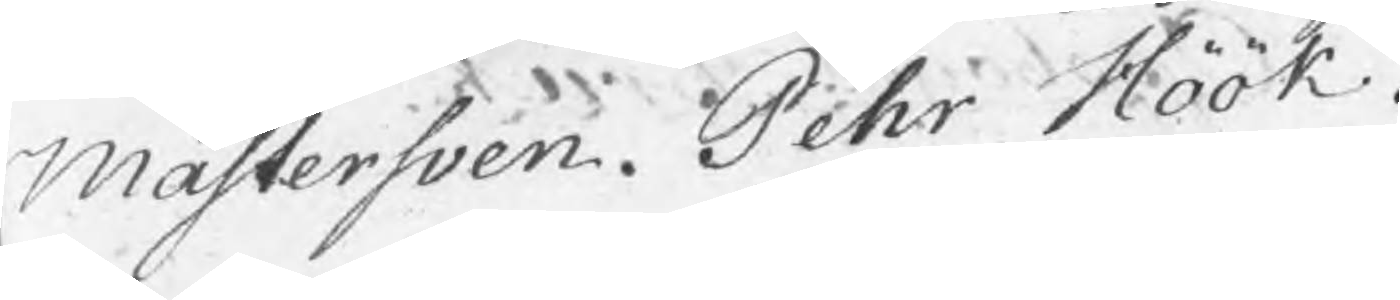Mästersven. Pehr Höök.
